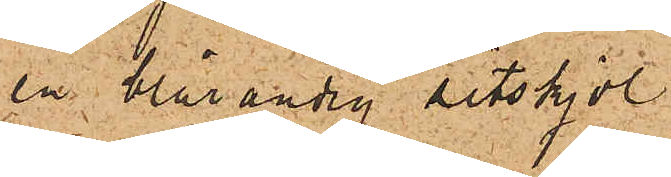en blårandig sitskjol
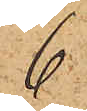6
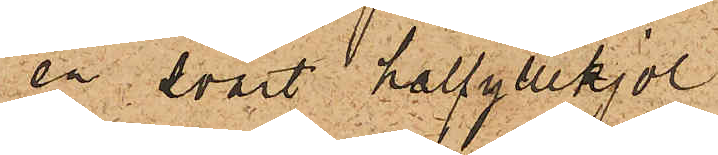en svart halfyllekjol
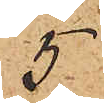5
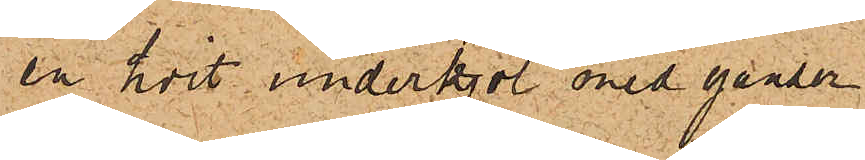en hvit underkjol med ganser
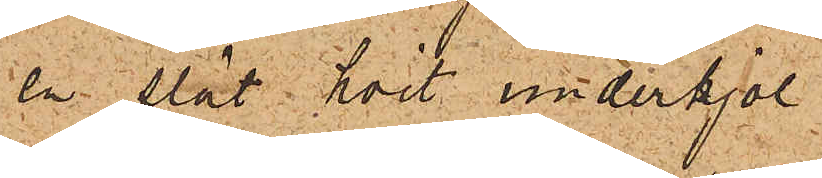en slät hvit underkjol
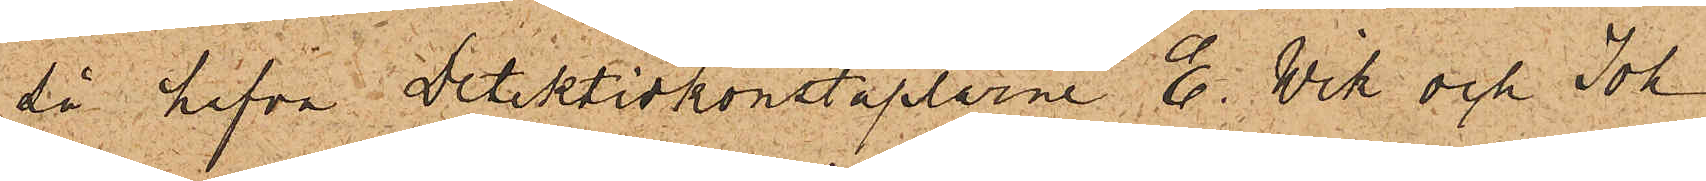då hafva Detektivkonstaplarne E. Wik och Joh.
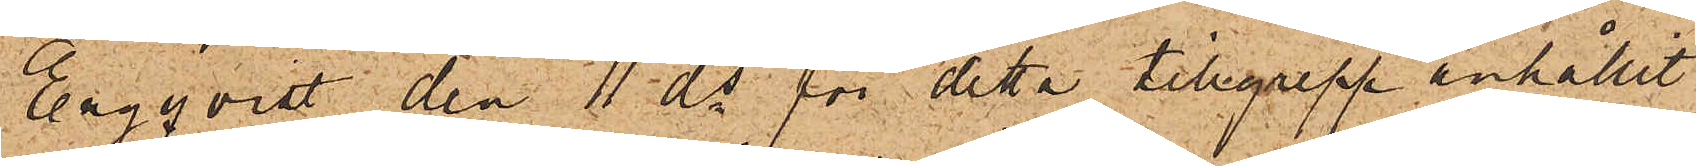Engqvist den 4 ds för detta tillgrepp anhållit
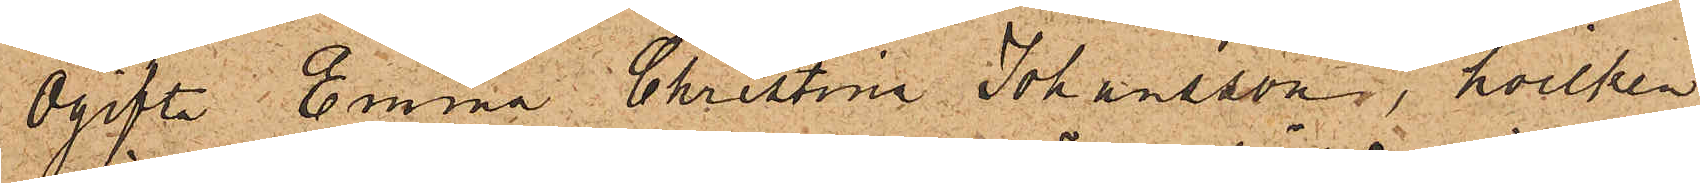Ogifta Emma Christina Johansson, hvilken
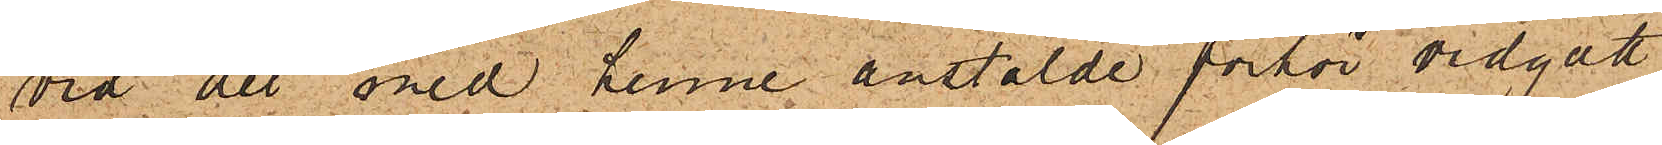vid det med henne anstälde förhör vidgått,
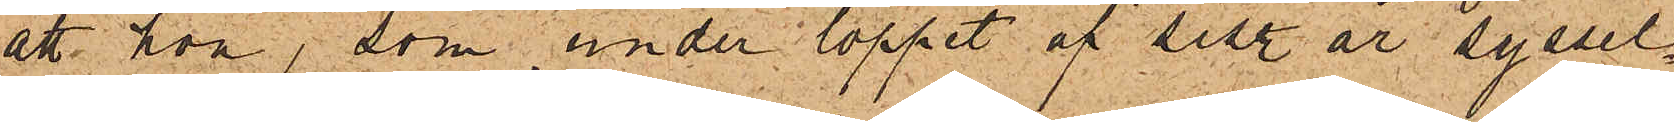att hon, som under loppet af sist. år syssel¬
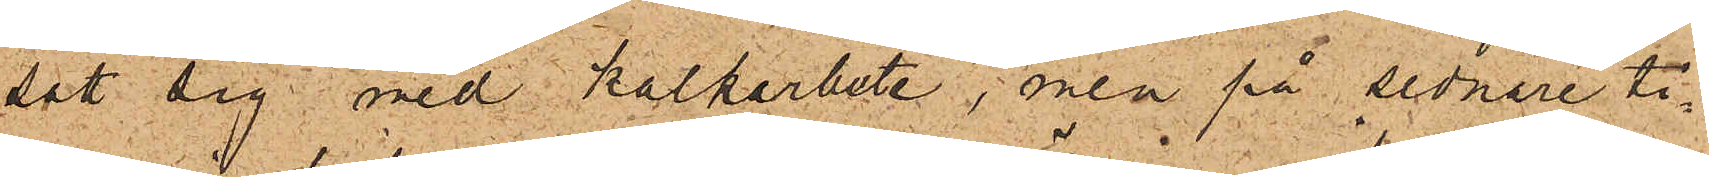satt sig med kalkarbete, men på sednare ti¬
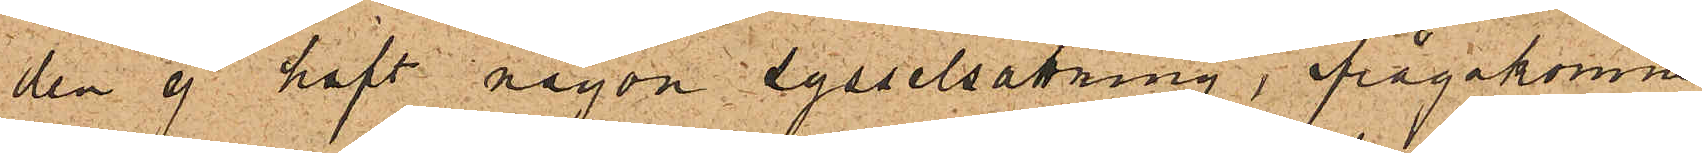den ej haft någon sysselsättning, ifrågakomne
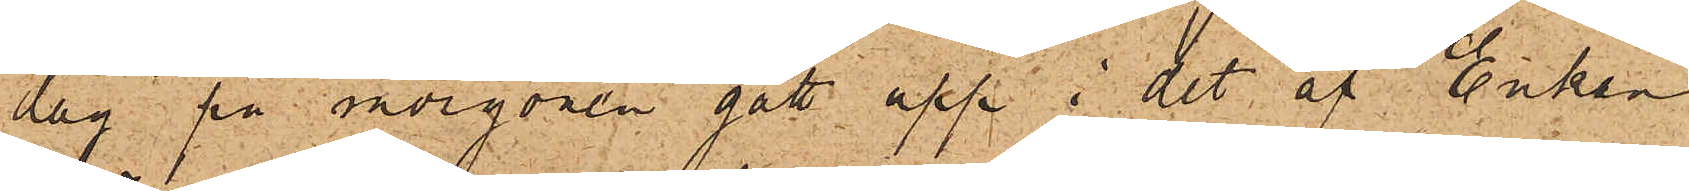dag på morgonen gått upp i det af Enkan
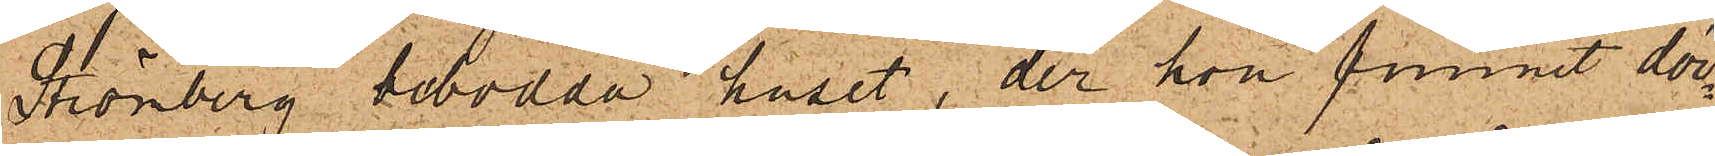Strömberg bebodda huset, der hon funnit dör¬
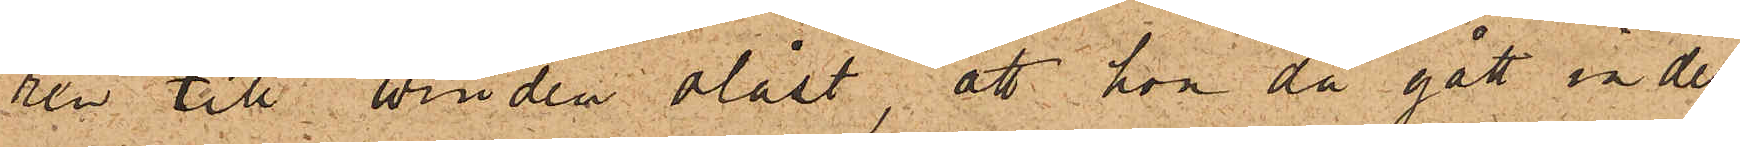ren till vinden olåst, att hon då gått in der
